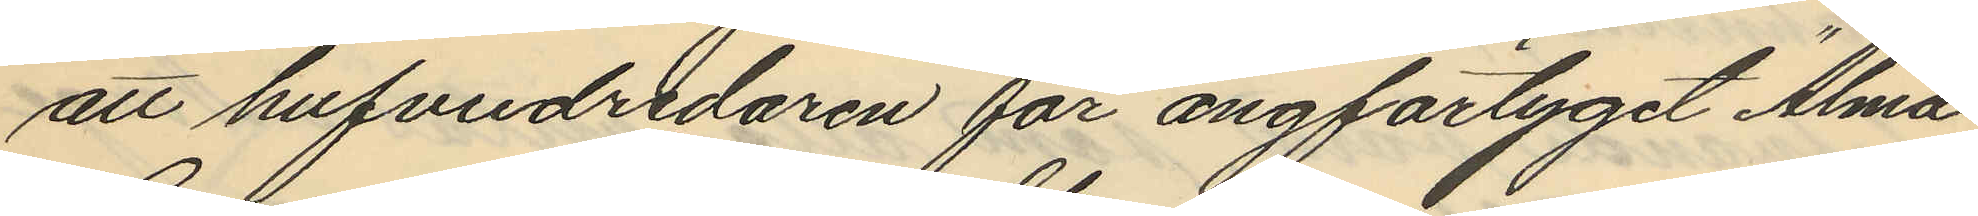att hufvudredaren för ångfartyget "Alma"
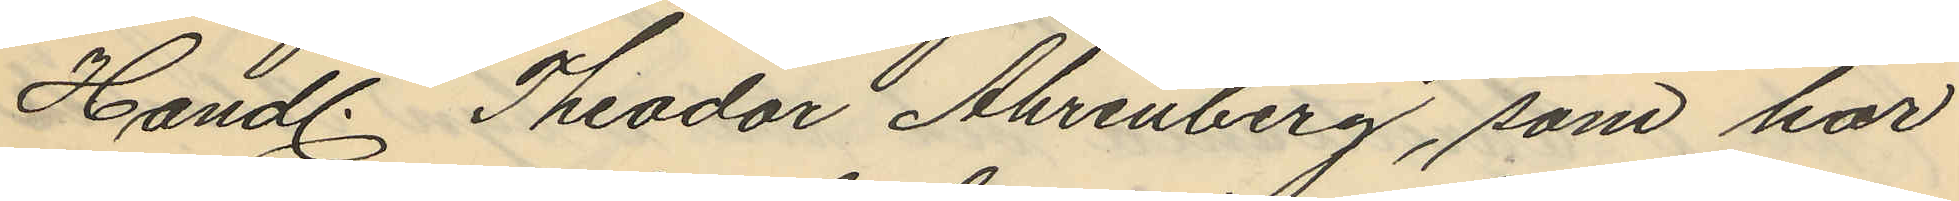Handl. Theodor Ahrenberg, som har
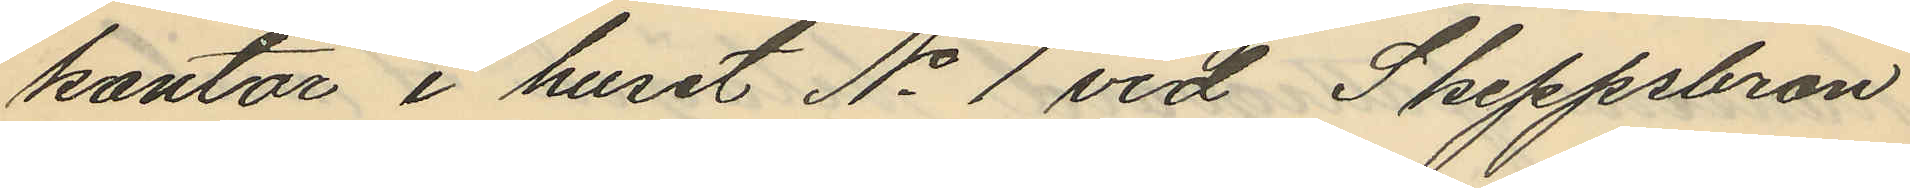kontor i huset No 1 vid Skeppsbron
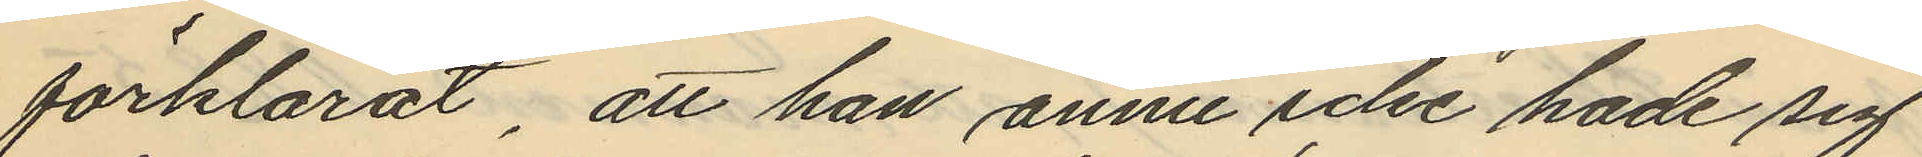förklarat, att han ännu icke hade sig
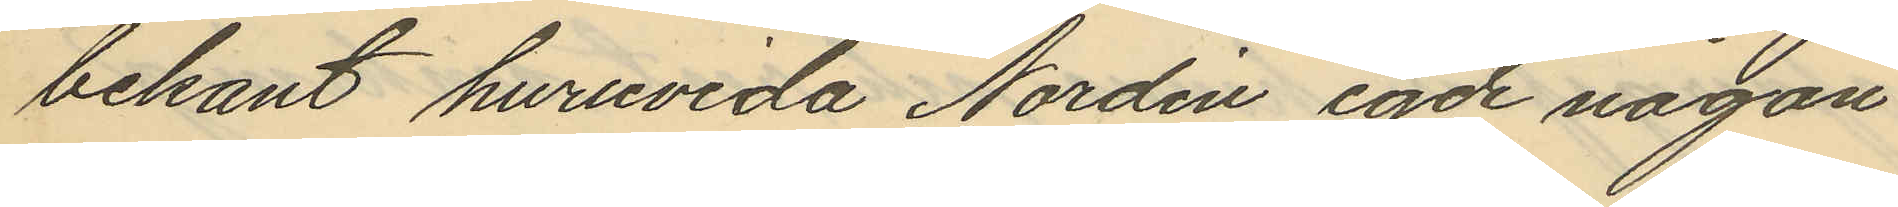bekant huruvida Nordén egde någon
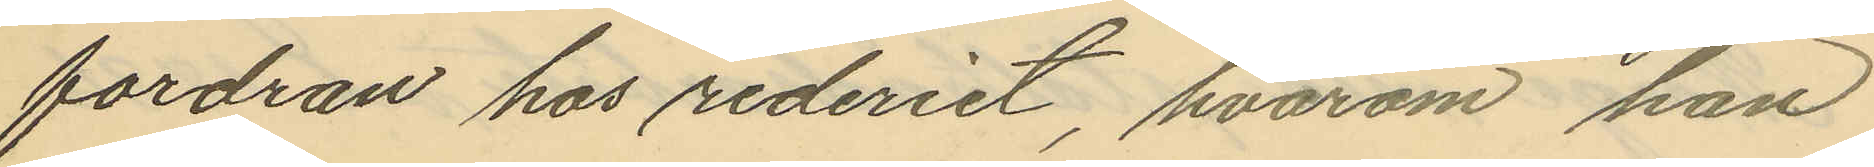fordran hos rederiet, hvarom han
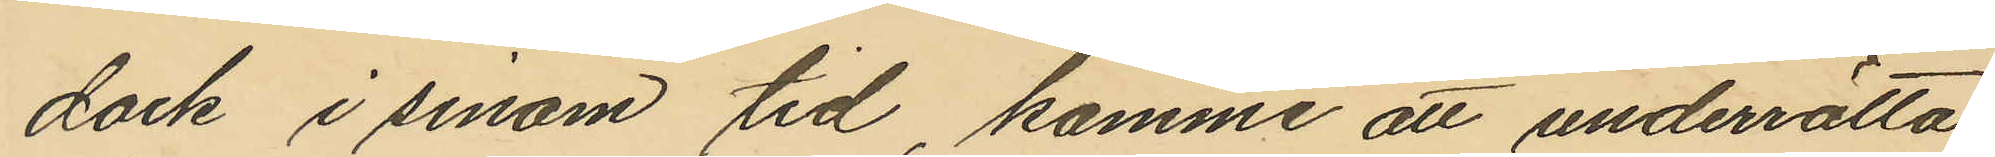dock i sinom tid, komme att underrätta
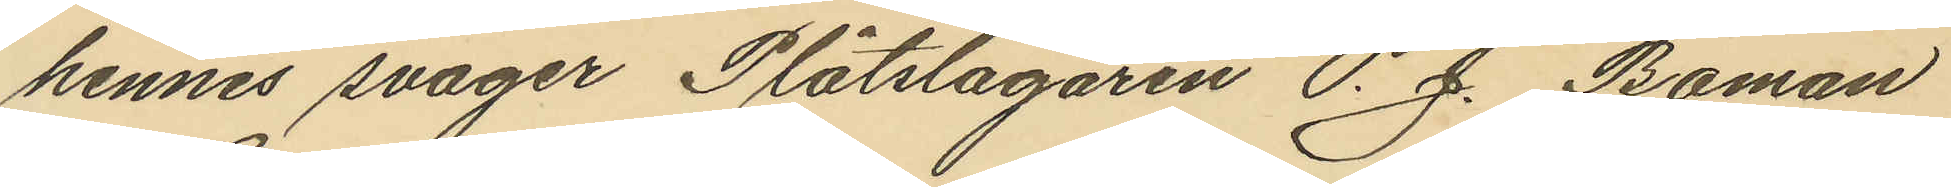hennes svåger Plåtslagaren P. J. Boman
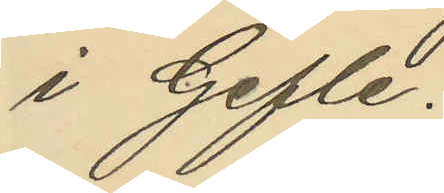i Gefle.
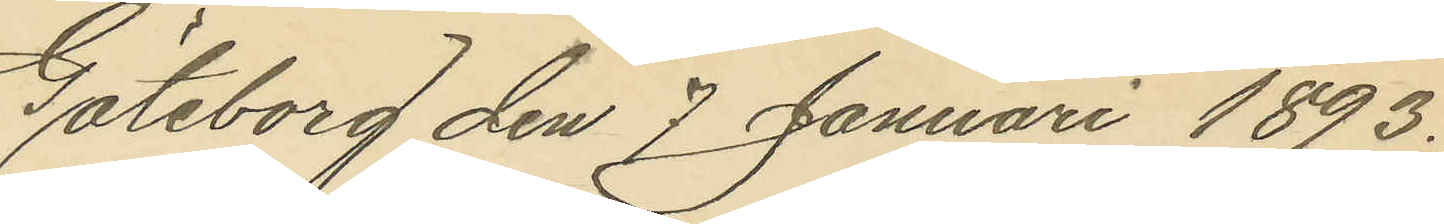Göteborg den 7 Januari 1893.
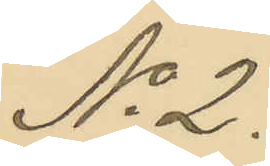No 2.
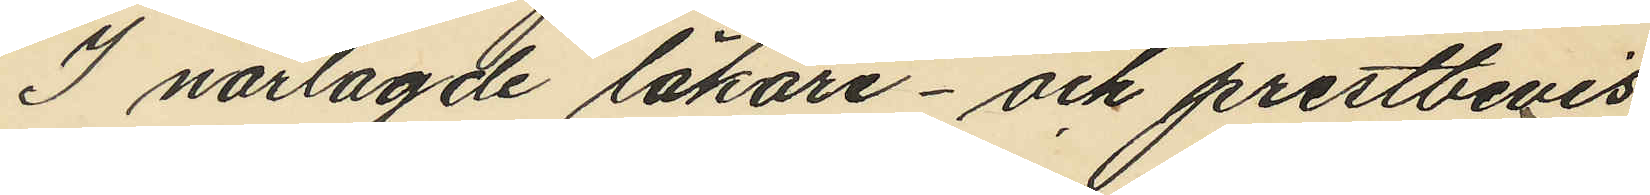I närlagde läkare- och prestbevis
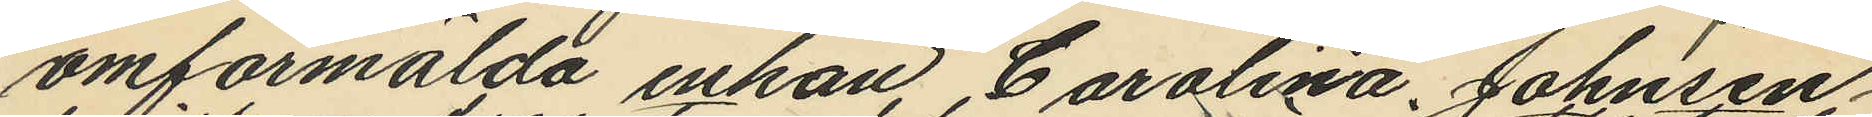omförmälda enkan Carolina Johnsen
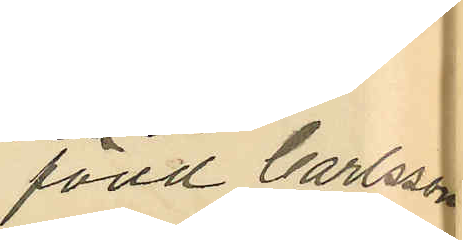född Carlsson
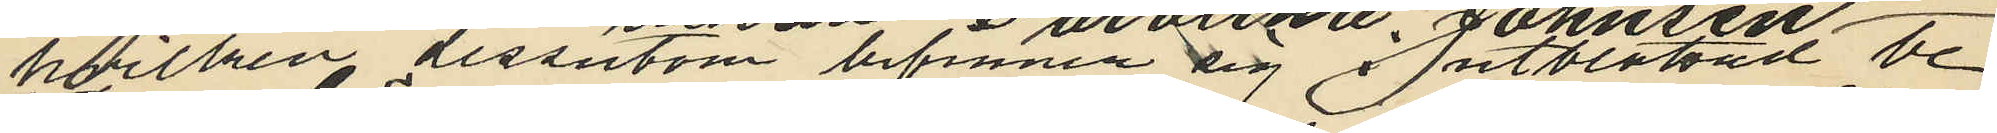hvilken dessutom befinner sig i utblottad be¬
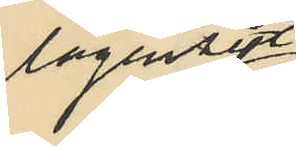lägenhet
